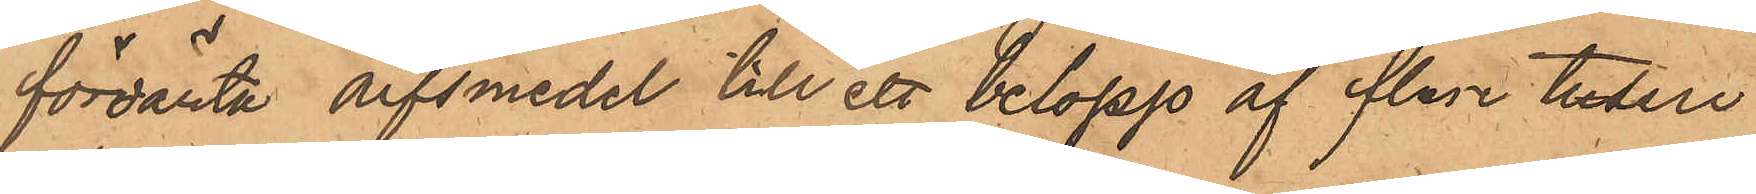förvänta arfsmedel till ett belopp af flere tusen
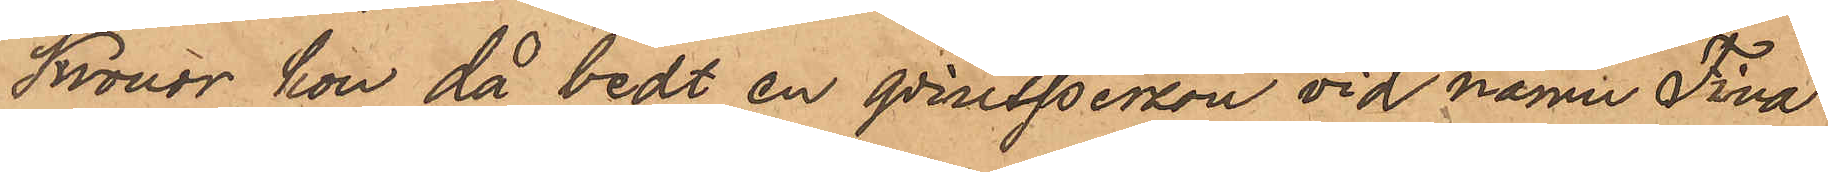Kronor, hon då bedt en qvinsperson vid namn Fiva
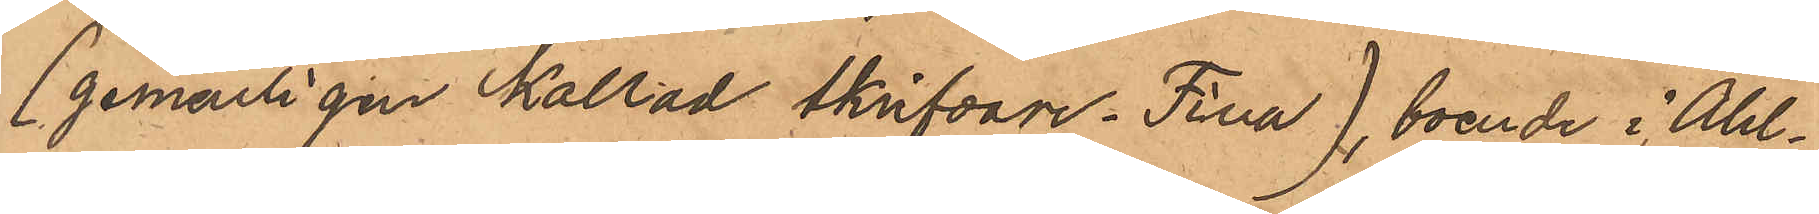(gemenligen kallad skrifvare Fina), boende i Ahl¬
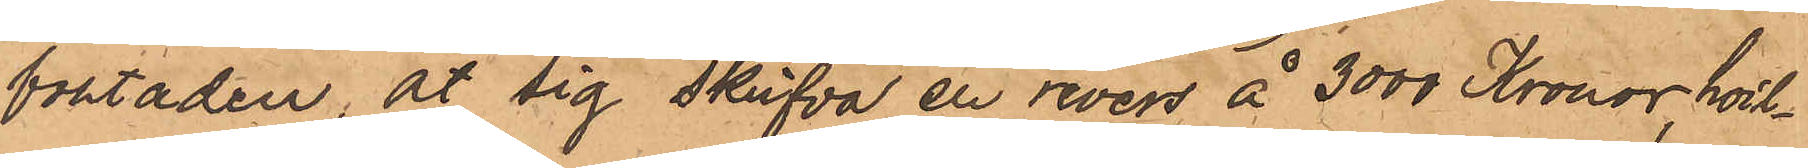bostaden, åt sig skrifva en revers å 3000 Kronor, hvil¬
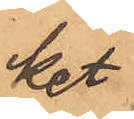ket
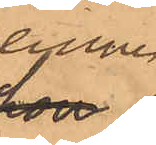denne
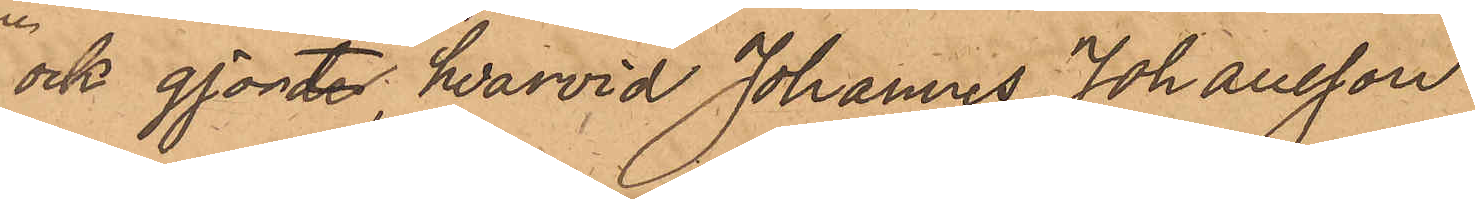och gjorte, hvarvid Johannes Johansson
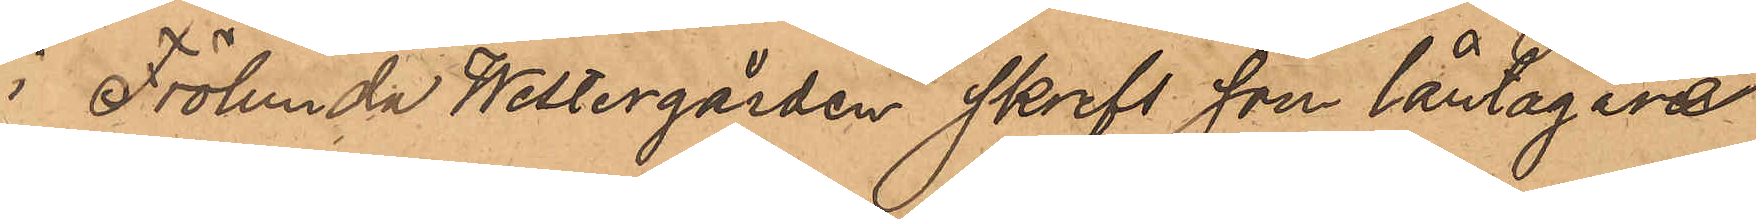i Frölunda Westergården skrefs som låntagare
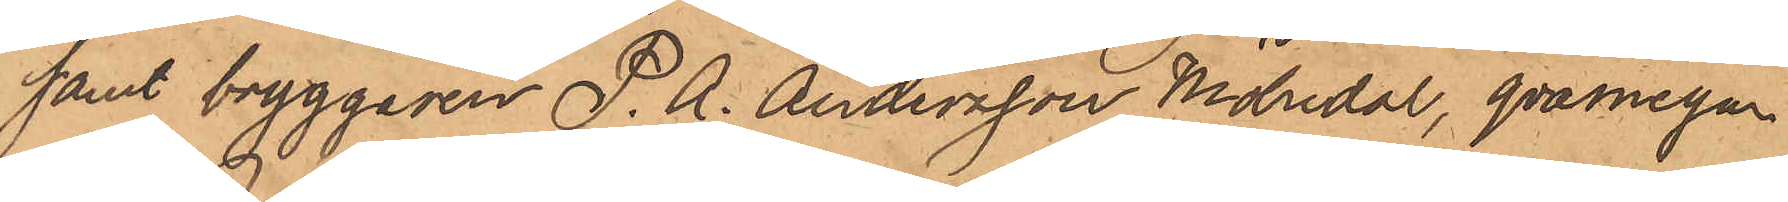samt bryggaren P. A. Andersson, Mölndal, qvarnegar¬
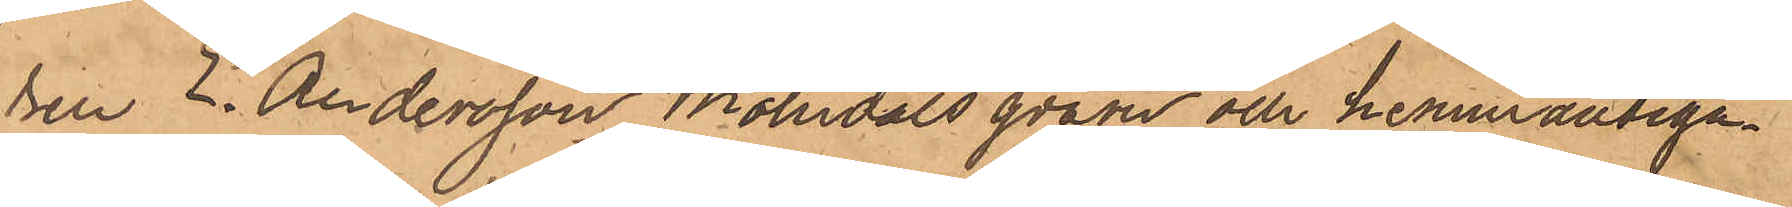en E. Andersson, Mölndals qvarn och hemmansega¬
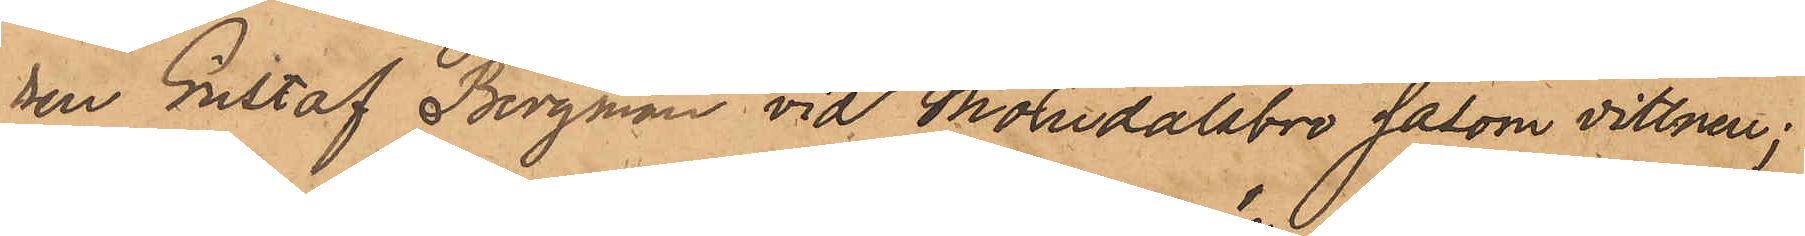ren Gustaf Bergman vid Mölndalsbro såsom vittnen;
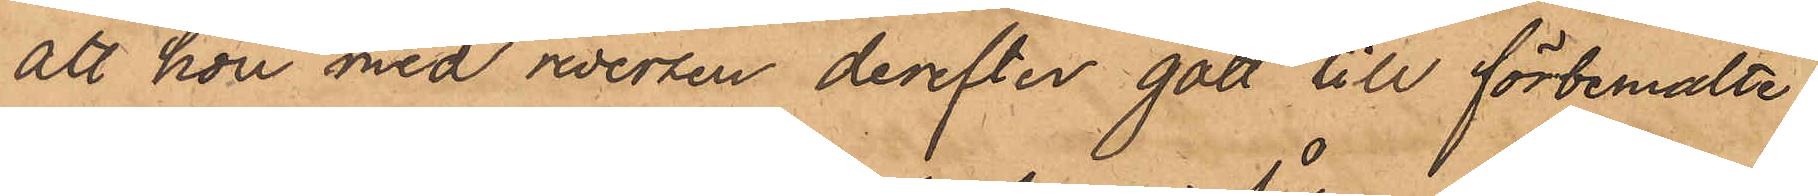att hon med reversen derefter gått till förbemälte
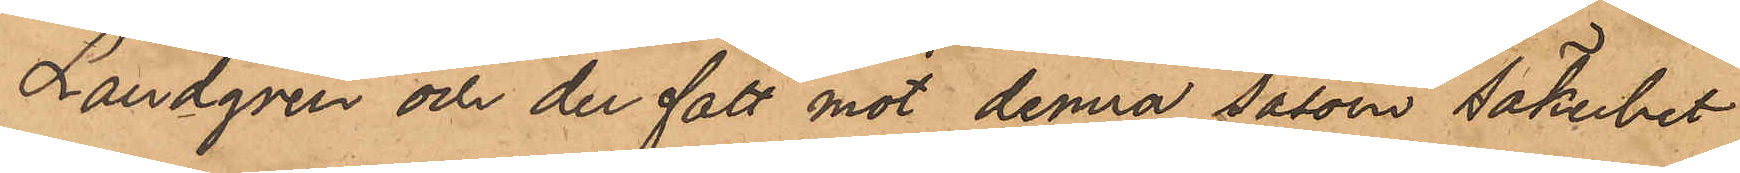Landgren och der fått mot denna såsom säkerhet
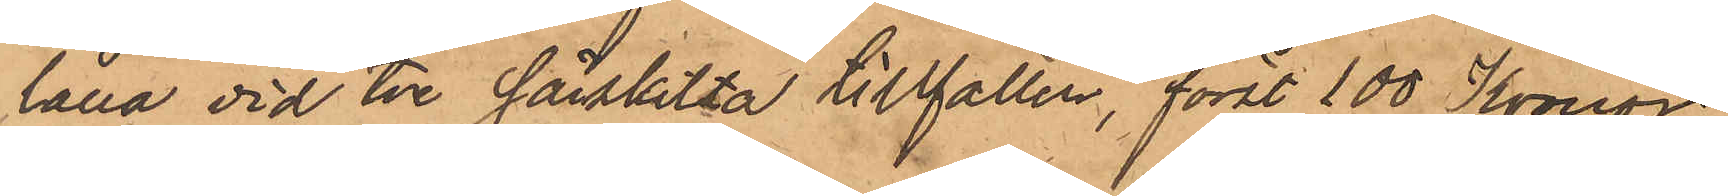låna vid tre särskilta tillfällen, först 100 Kronor,
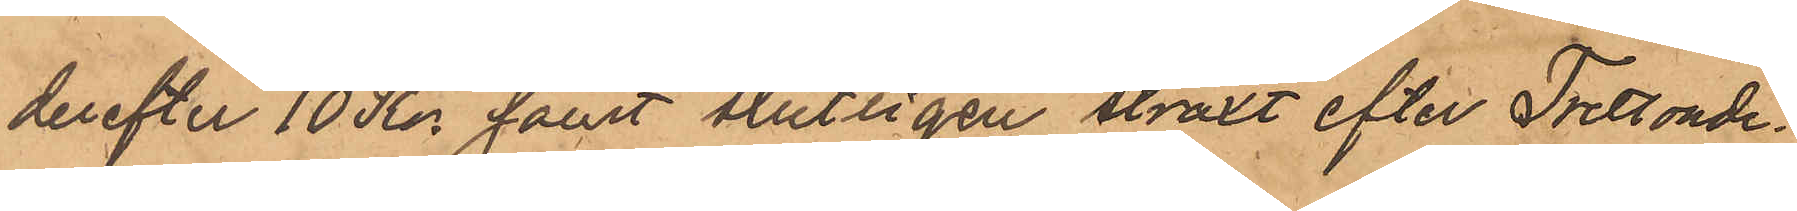derefter 10 Kr. samt slutligen straxt efter Trettonde¬
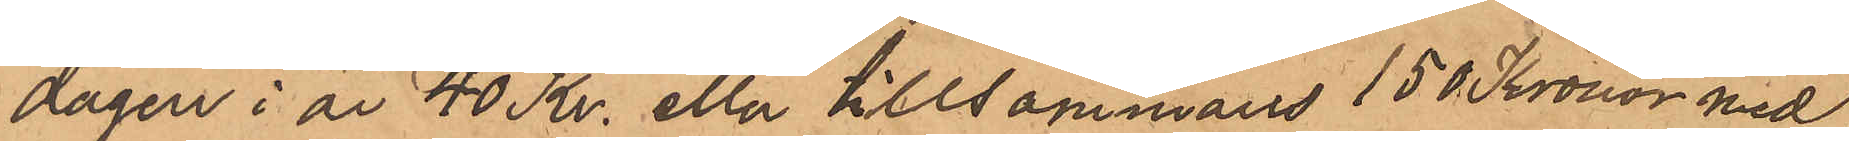dagen i år 40 Kr. eller tillsammans 150 Kronor med
